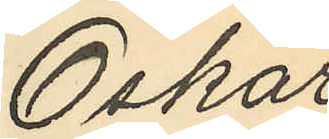Oskar
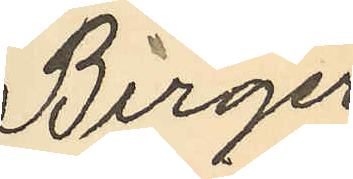Birger
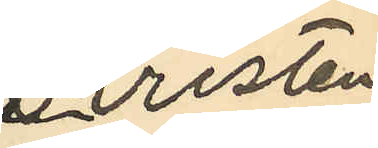Kristen
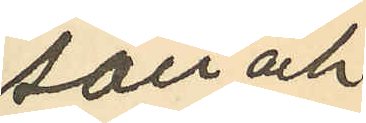son och
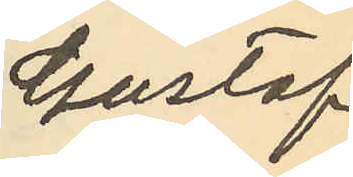Gustaf
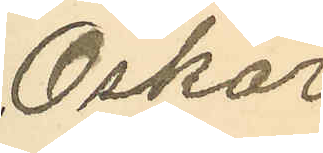Oskar
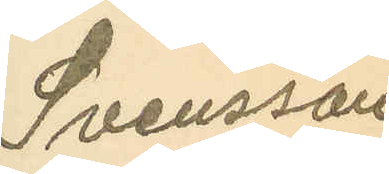Svensson
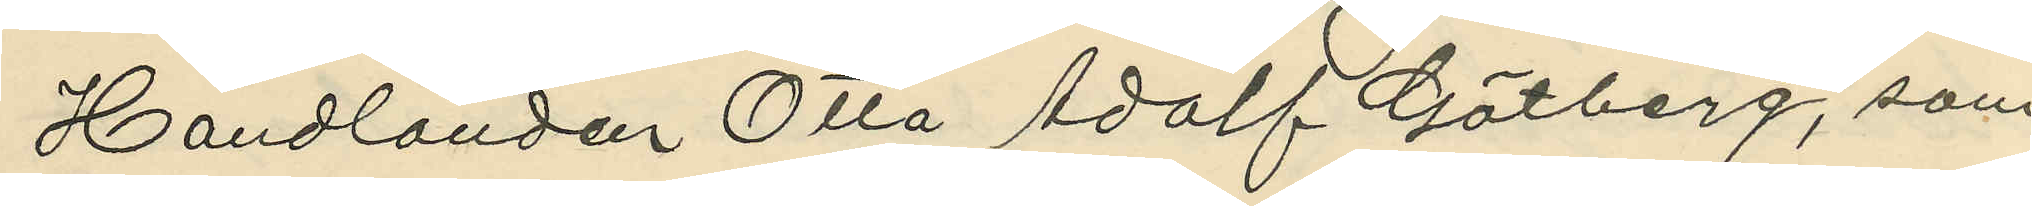Handlanden Otto Adolf Götberg, som
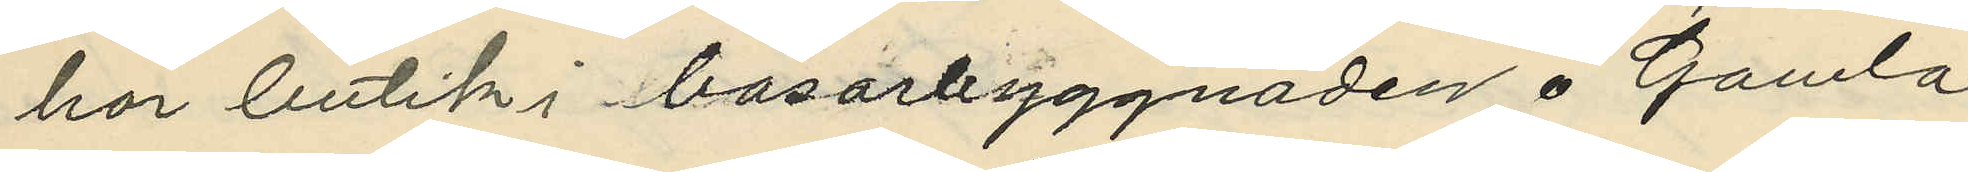har butik i basarbyggnaden å Gamla
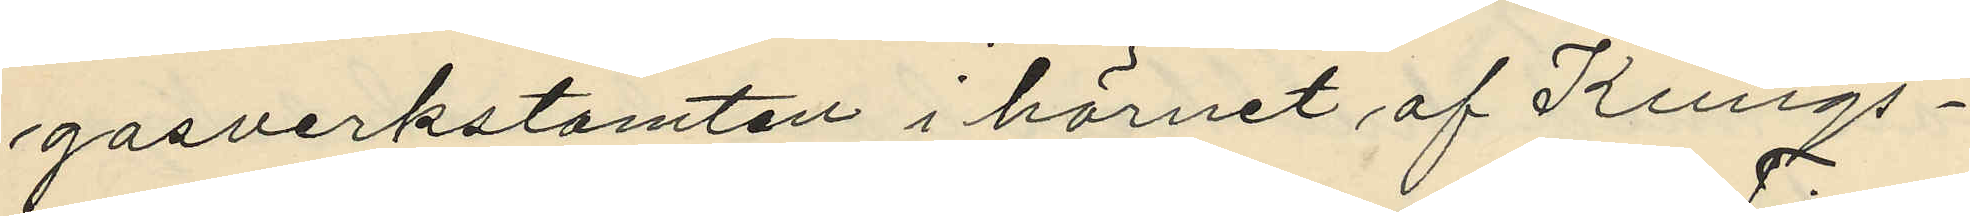gasverkstomten i hörnet af Kungs¬
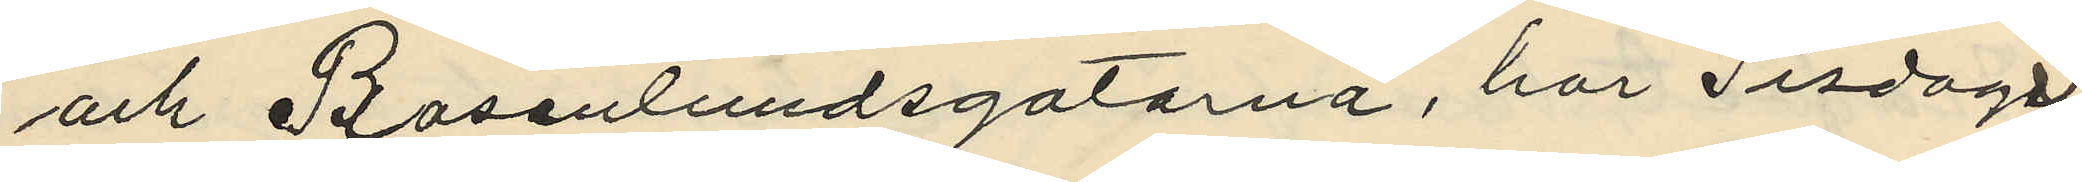och Rosenlundsgatorna, har Tisdagen
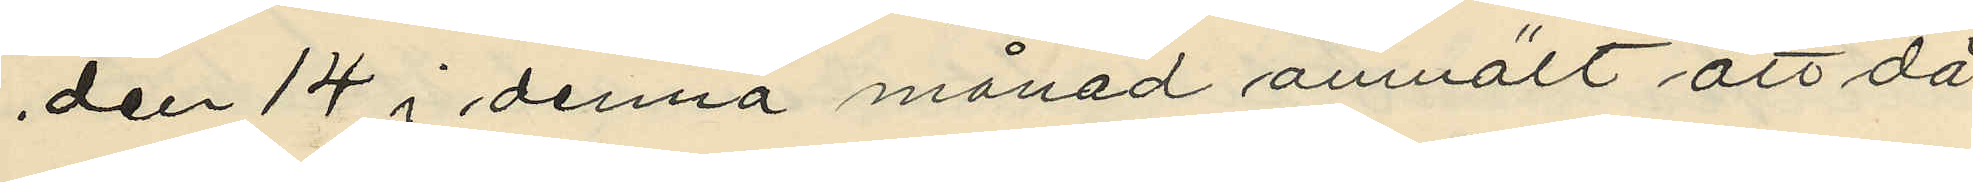den 14 i denna månad anmält att då
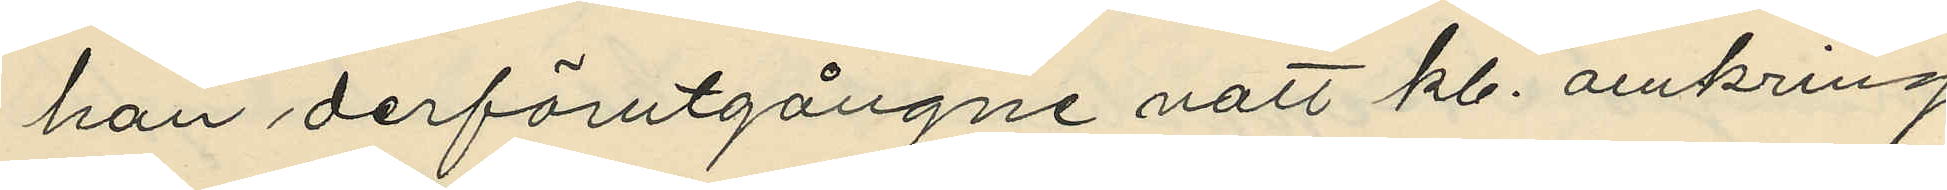han derförutgångne natt kl. omkring
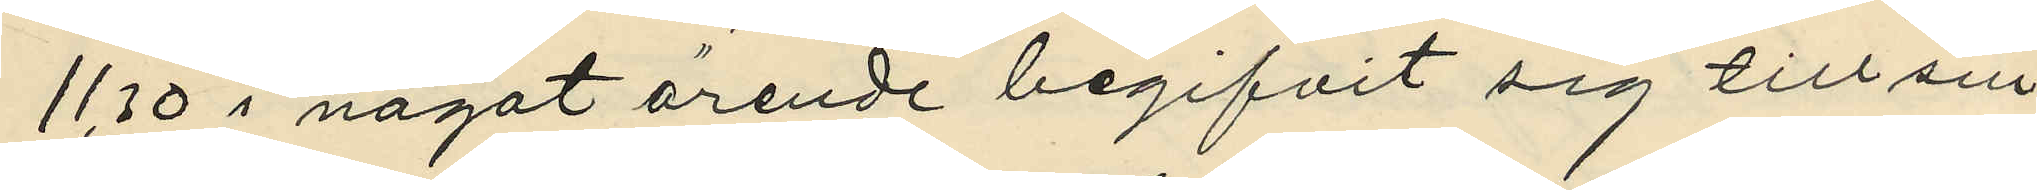11,30 i något ärende begifvit sig till sin
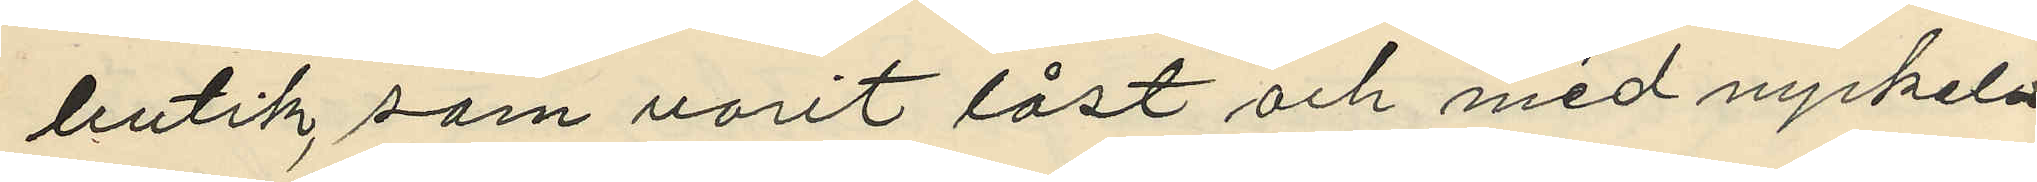butik, som varit låst och med nyckeln
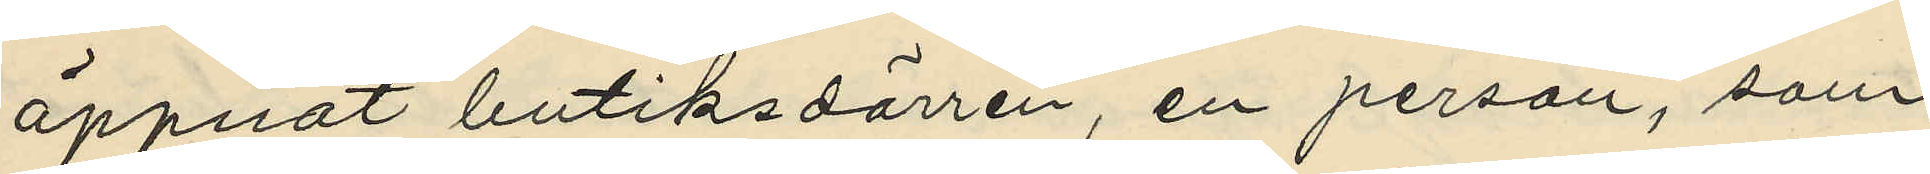öppnat butiksdörren, en person, som
